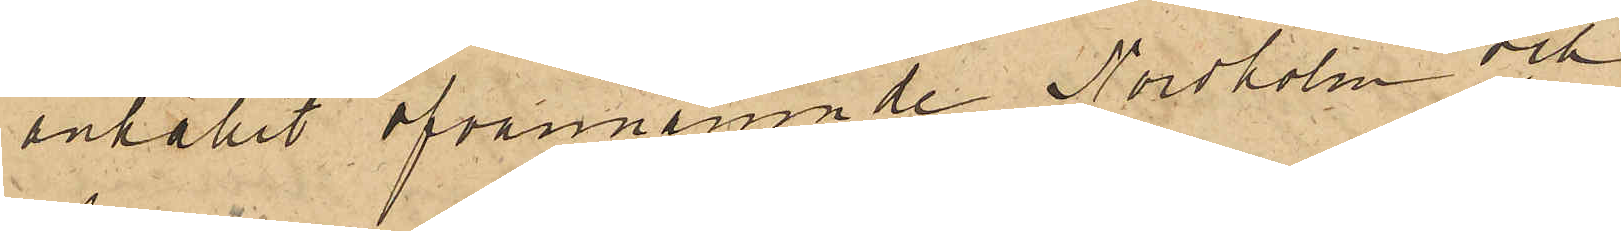anhållit ofvannämnde Nordholm och
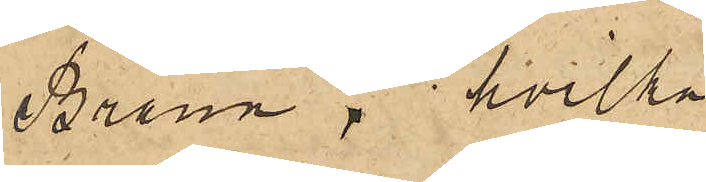Brann, hvilka
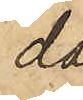då
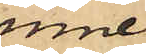inne¬
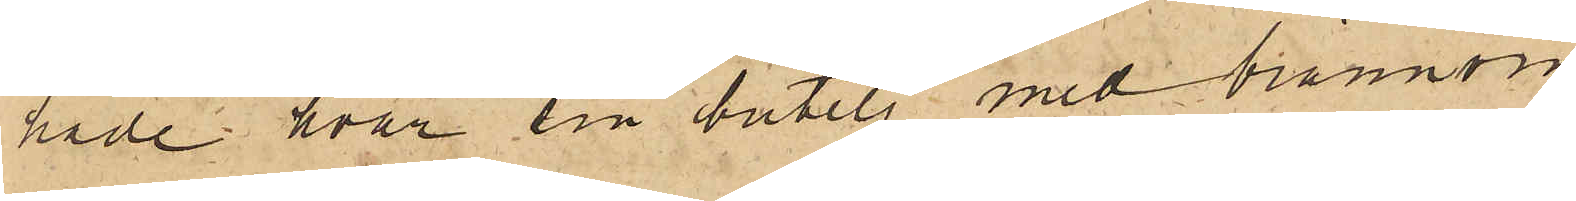hade hvar sin butelj med brännvin.
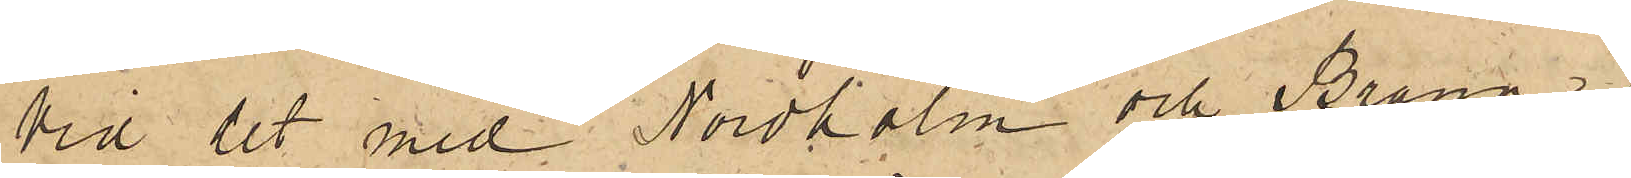Vid det med Nordholm och Brann i
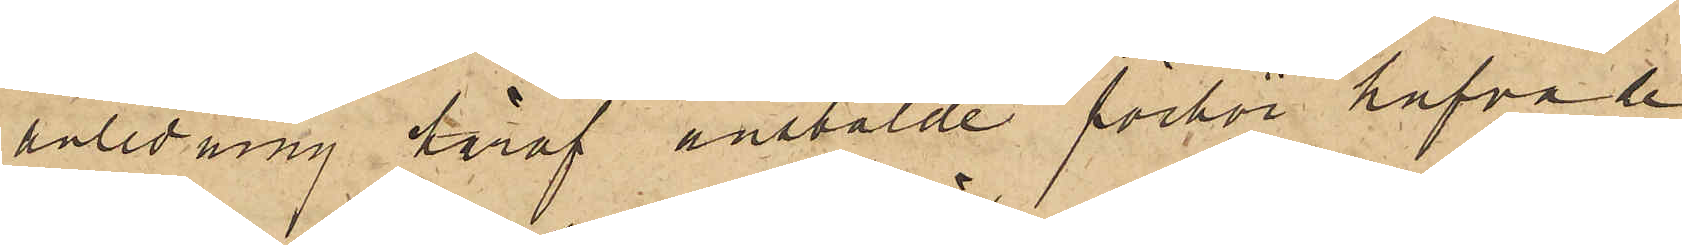anledning häraf anstälde förhör hafva de
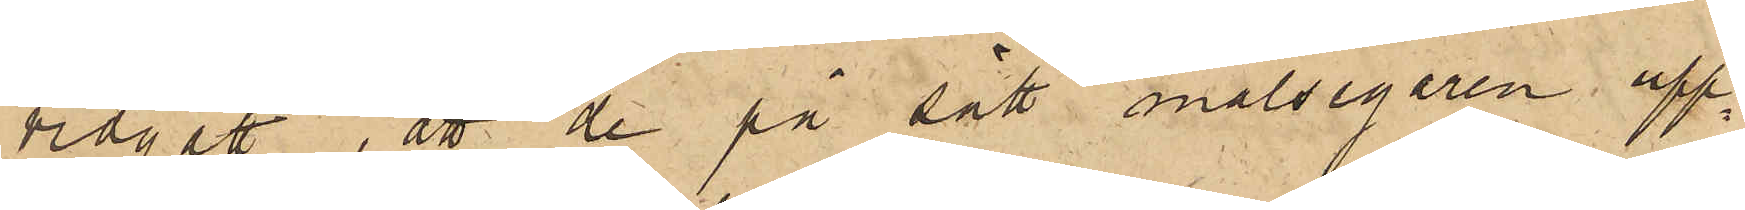vidgått, att de på sätt målsegaren upp¬
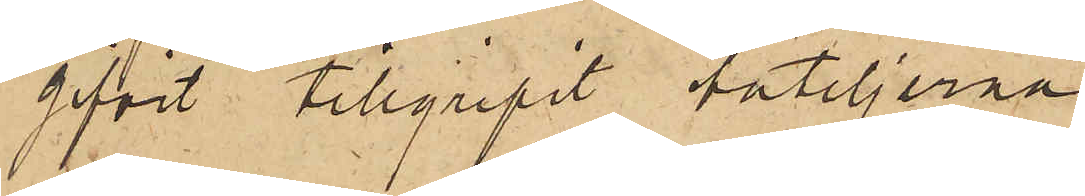gifvit tillgripit buteljerna.
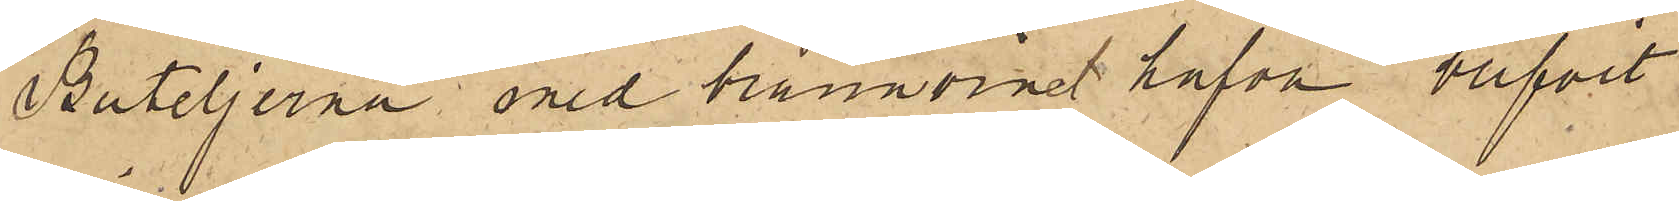Buteljerna med brännvinet hafva blifvit
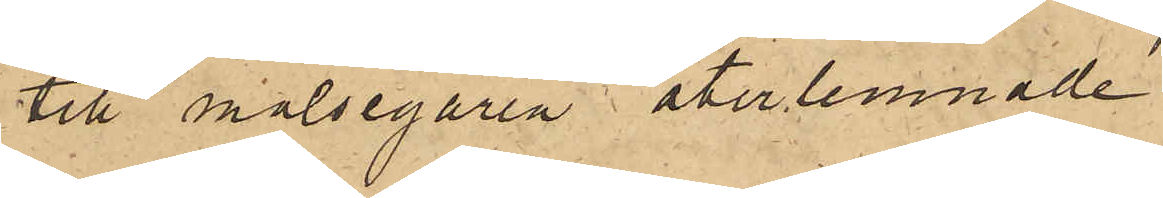till målsegaren återlemnade.
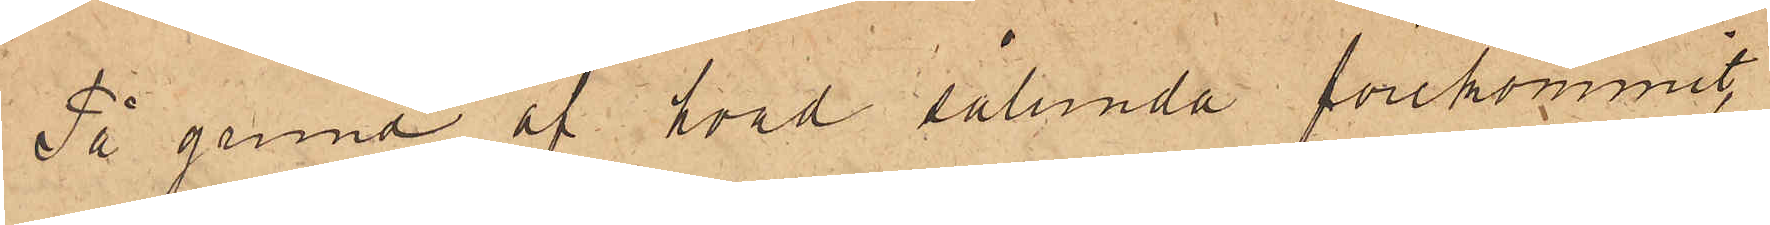På grund af hvad sålunda förekommit,
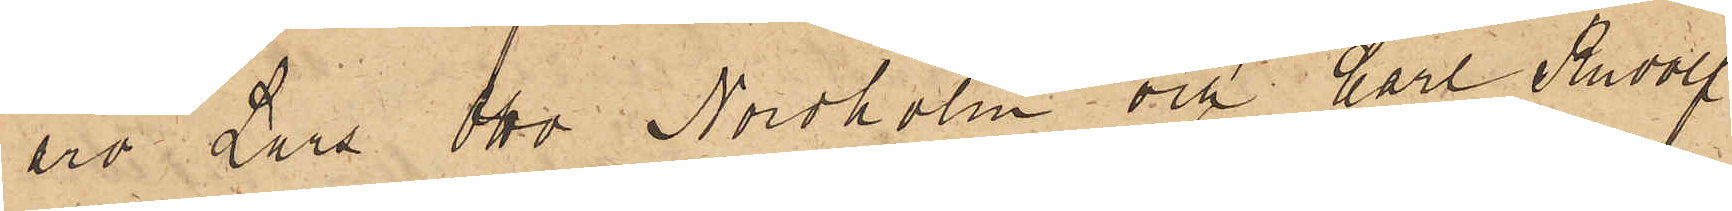äro Lars Otto Nordholm och Carl Rudolf
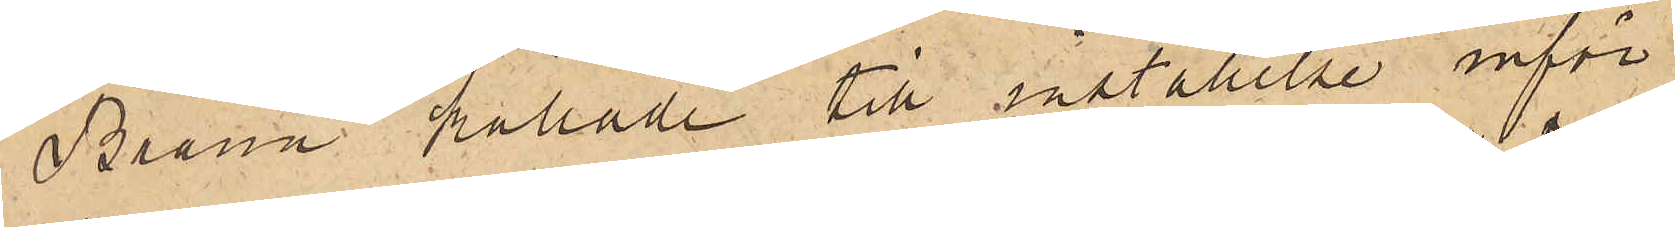Brann kallade till inställelse inför
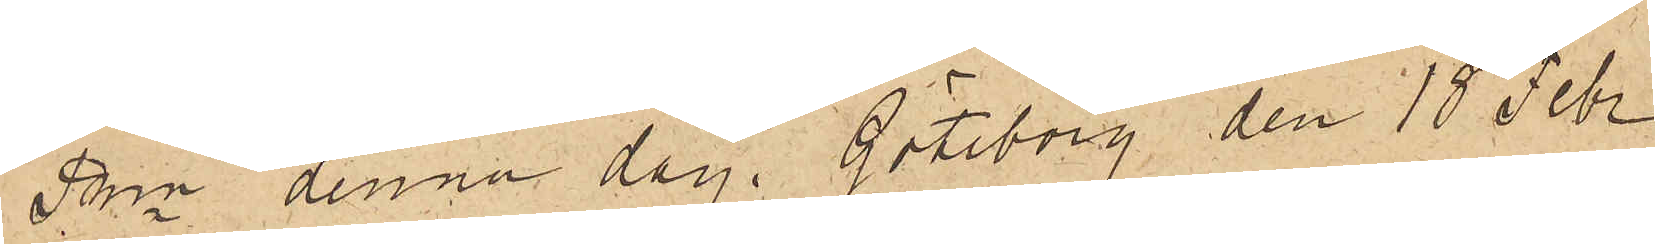PKn denna dag. Göteborg den 18 Febr
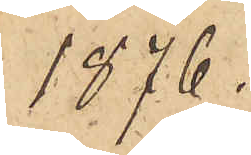1876.
